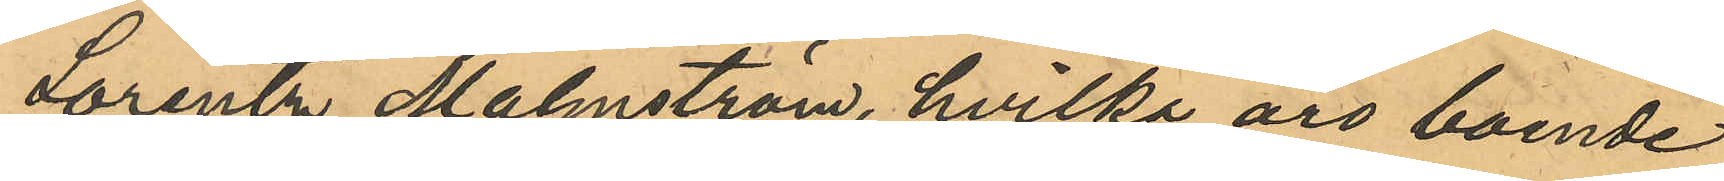Lorentz Malmström, hvilka äro boende
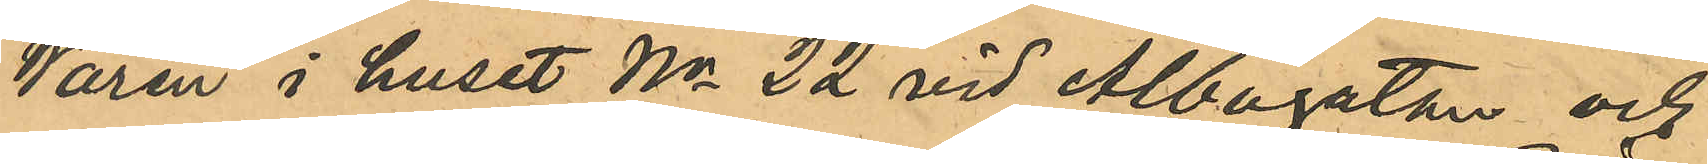Warén i huset No 22 vid Albogatan och
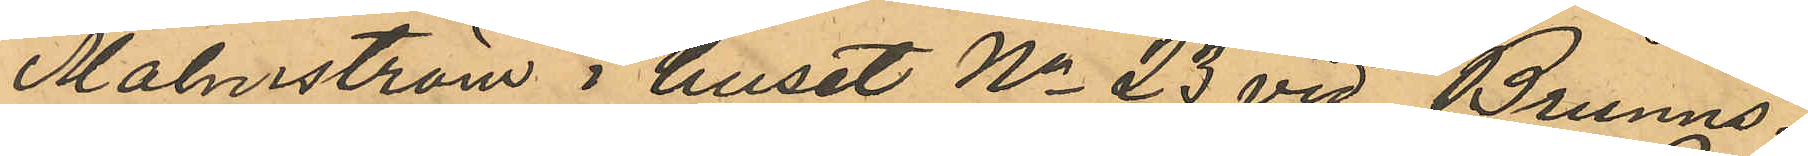Malmström i huset No 23 vid Brunns¬
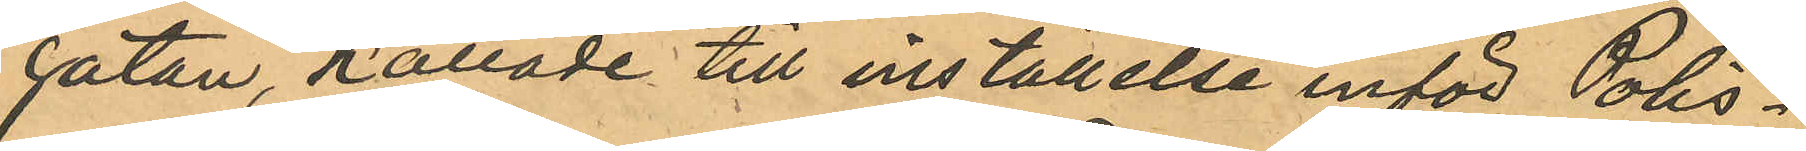gatan, kallade till inställelse inför Polis¬
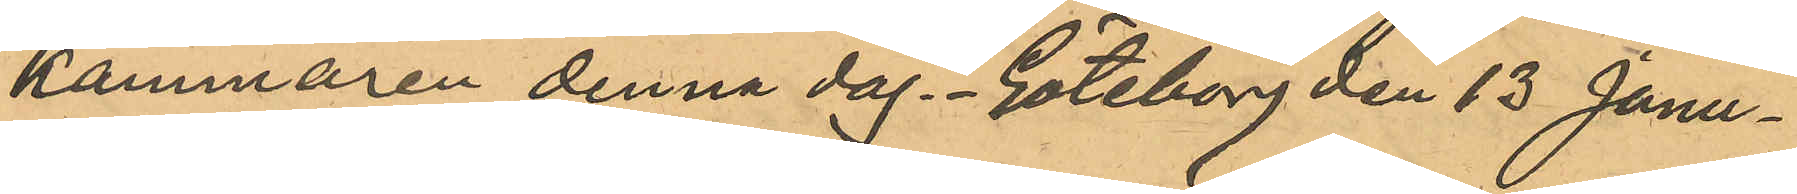kammaren denna dag. Göteborg den 13 Janu¬
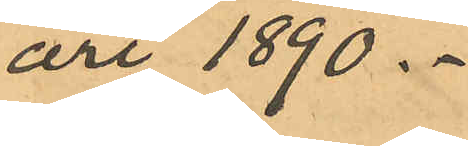ari 1890.
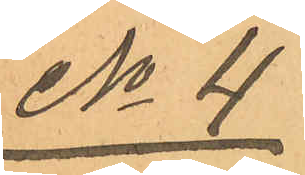No 4
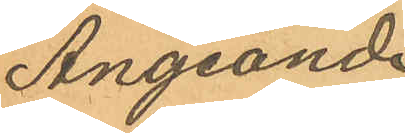Angående
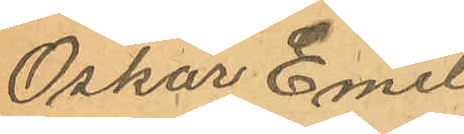Oskar Emil
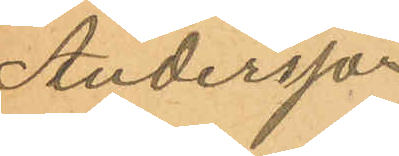Andersson
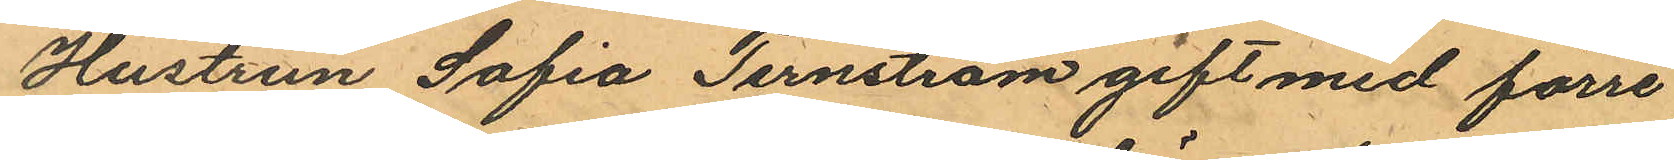Hustrun Sofia Jernström gift med förre
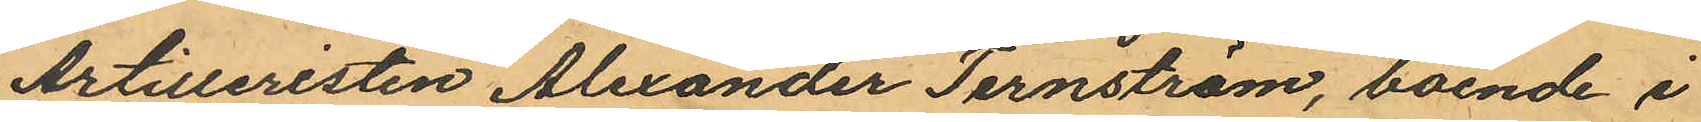Artilleristen Alexander Ternström, boende i
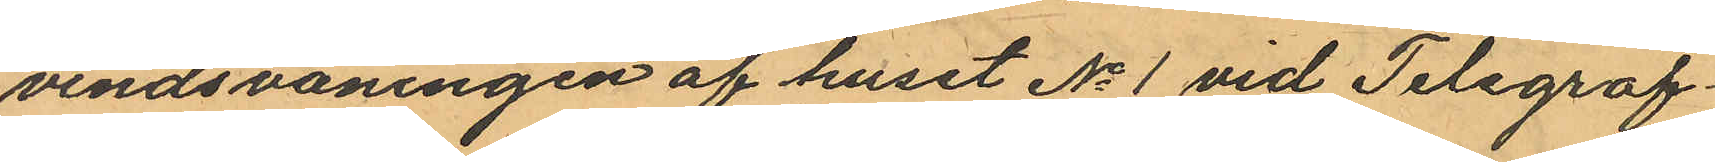vindsvåningen af huset No 1 vid Telegraf¬
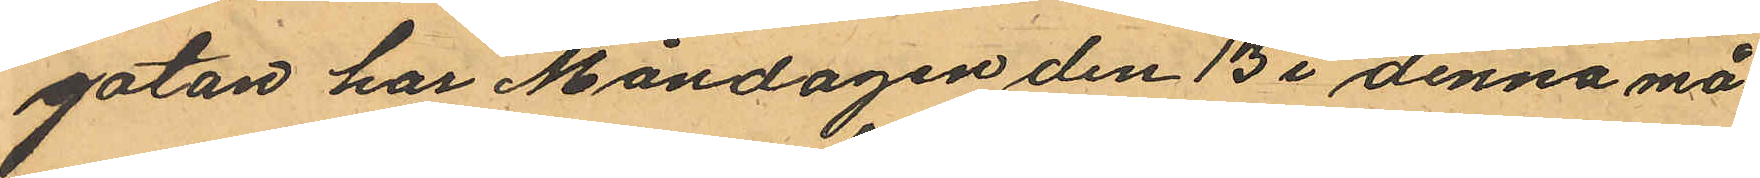gatan har Måndagen den 13 i denna må¬
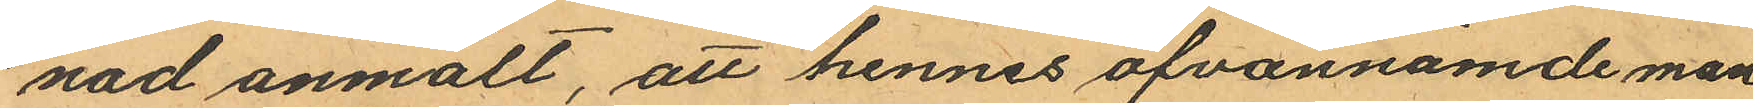nad anmält, att hennes ofvannämde man
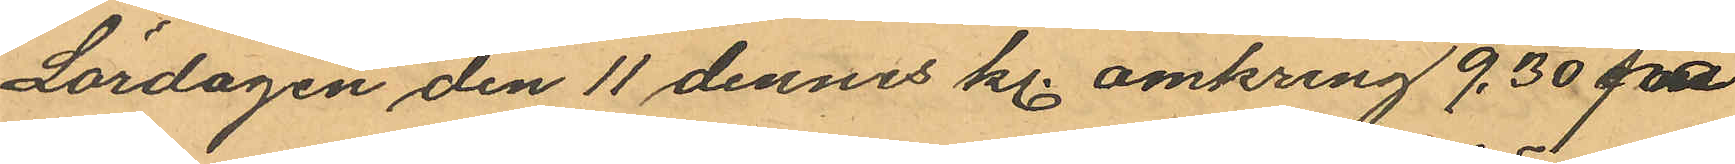Lördagen den 11 dennes kl. omkring 9,30 på
